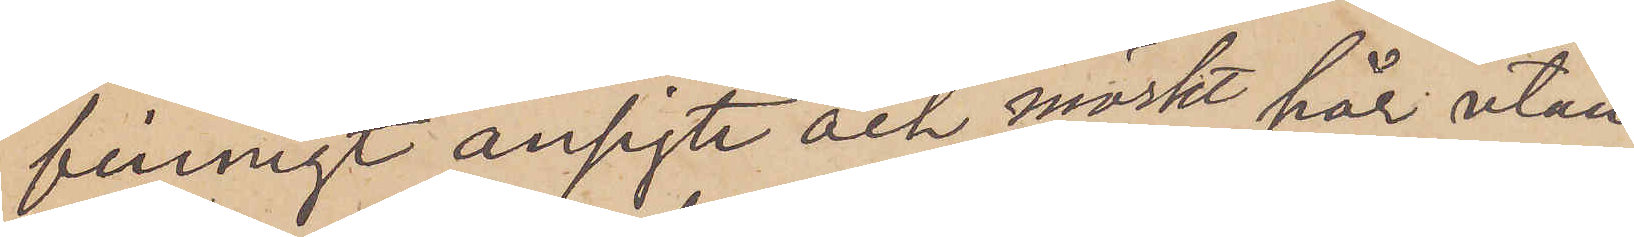finnigt ansigte och mörkt hår utan
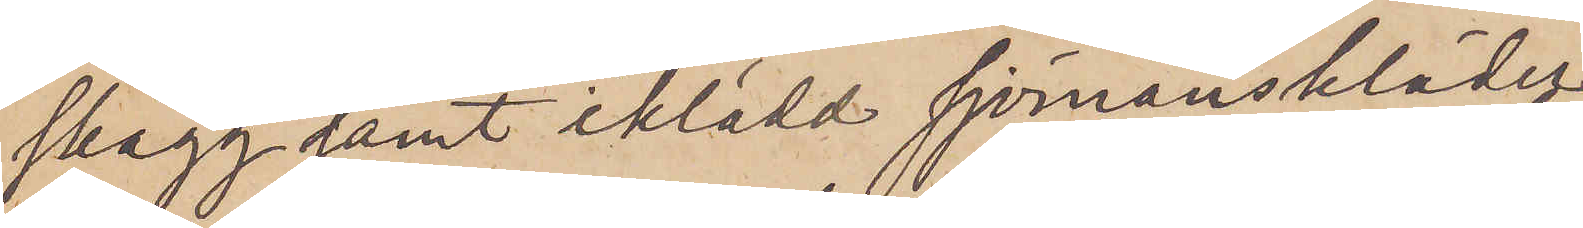skägg samt iklädd sjömanskläder
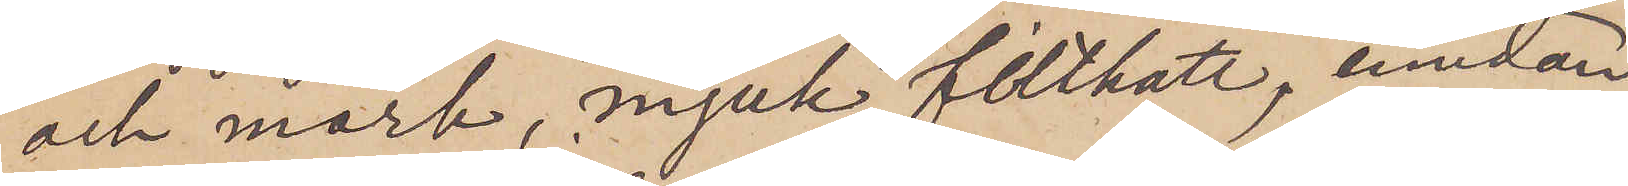och mörk, mjuk filthatt, emedan
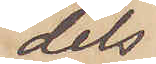dels
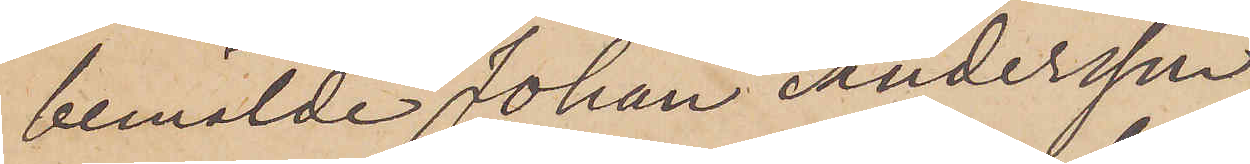bemälde Johan Andersson
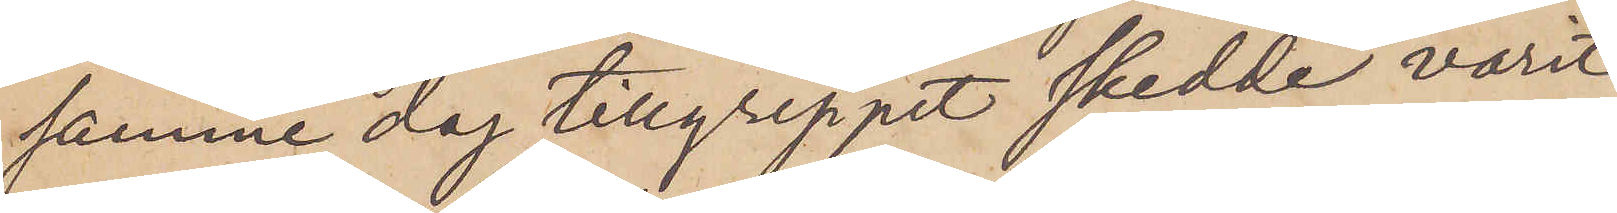samma dag tillgreppet skedde varit
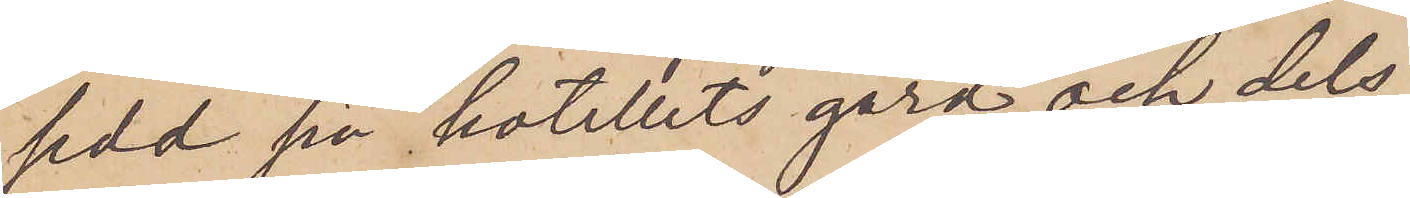sedd på hotellets gård och dels
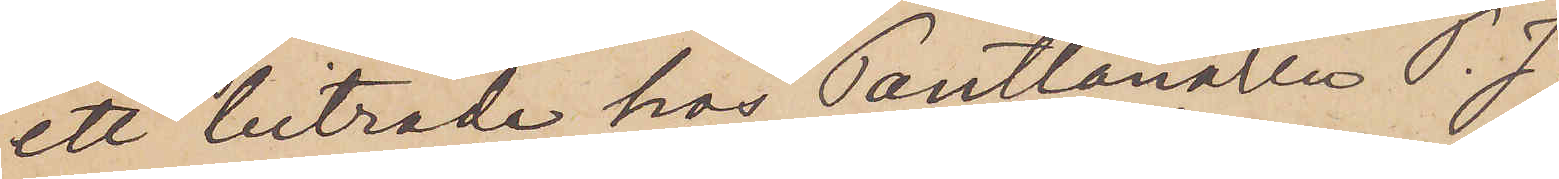ett biträde hos Pantlånaren P. J.
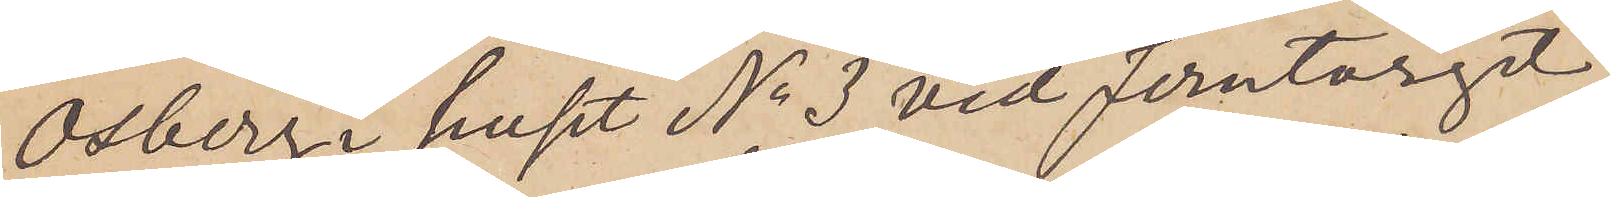Osberg i huset No 3 vid Jerntorget,
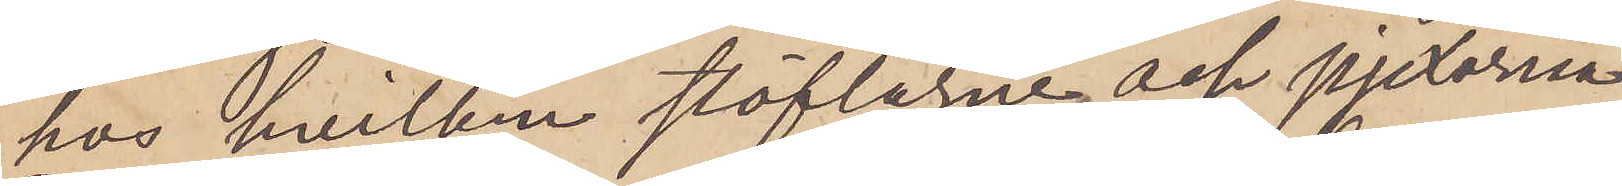hos hvilken stöflarne och pjexorna
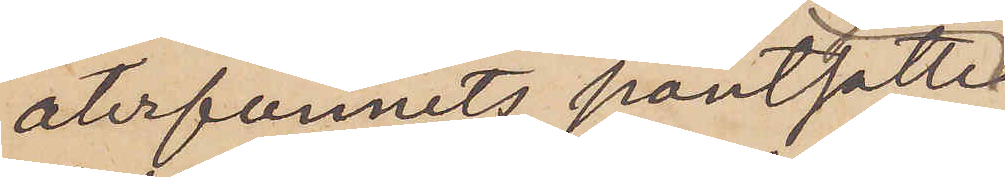återfunnits pantsatte
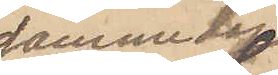samma dag
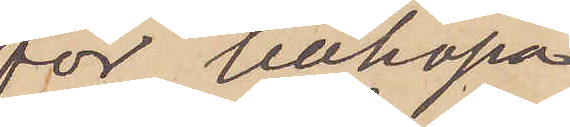för tillhopa
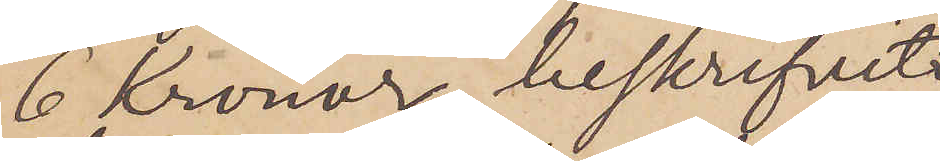6 Kronor, beskrifvit
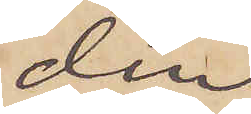den
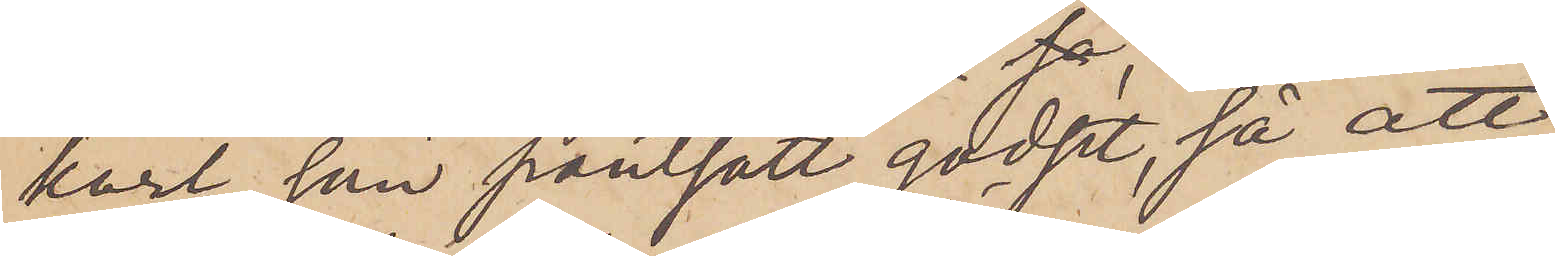karl, som pantsatt godset, så att
